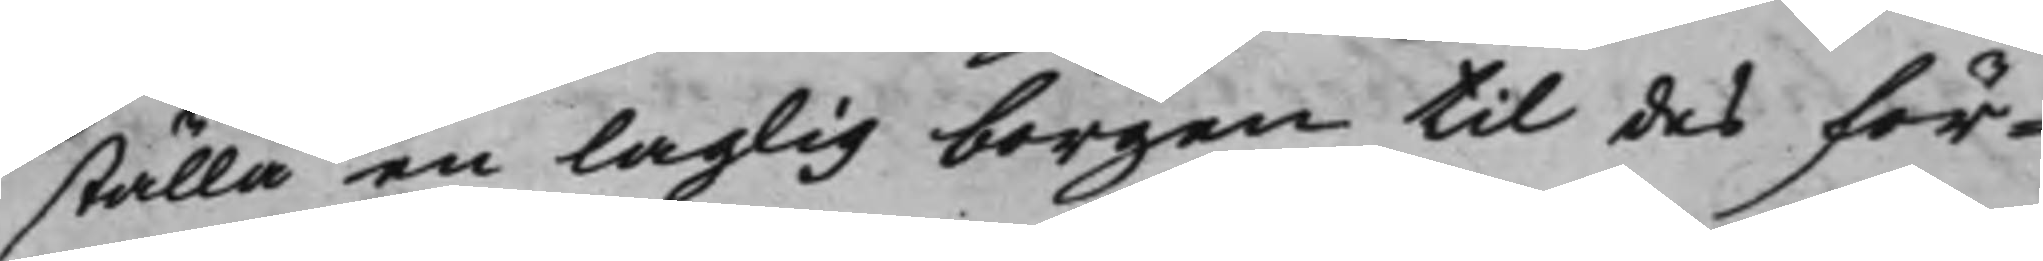ställa en laglig borgen til des för¬
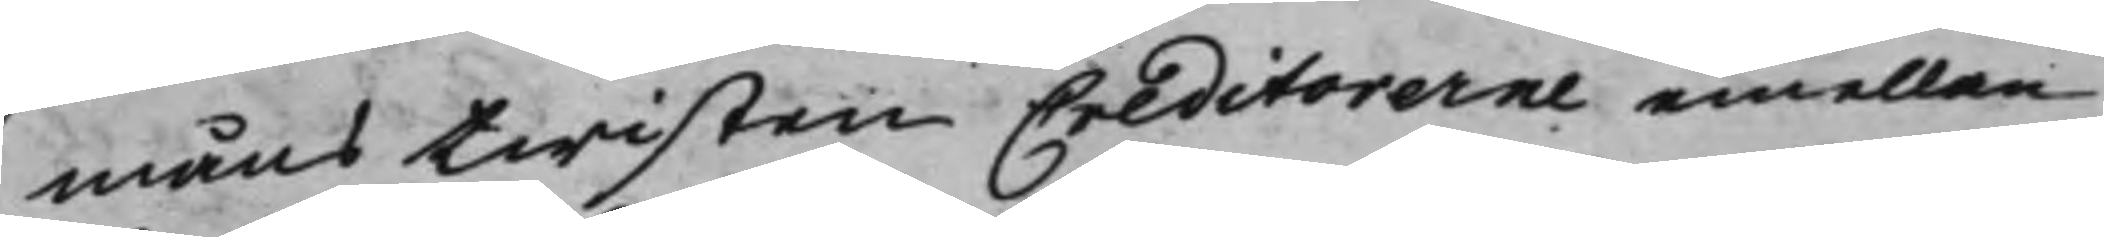månstwisten Creditorerne emellan
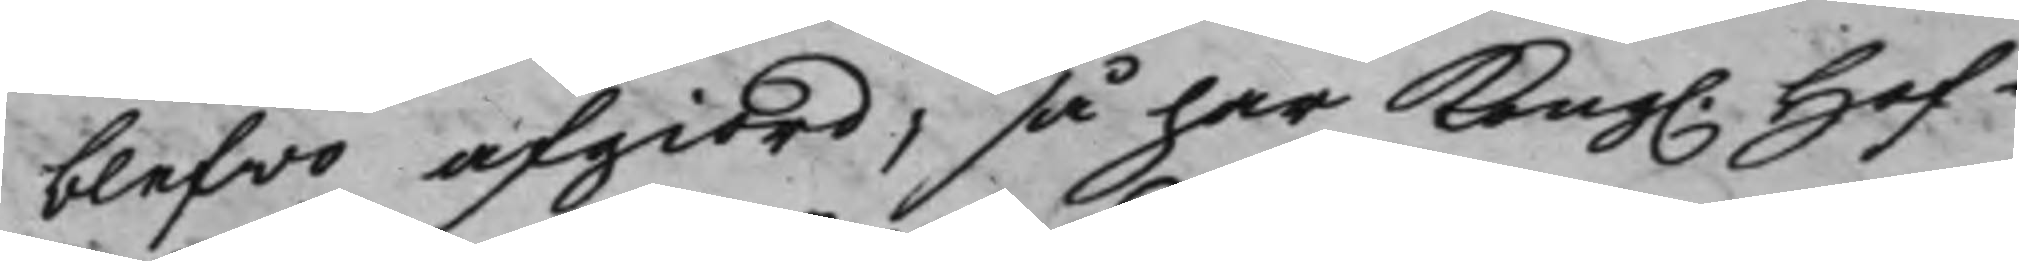blefwo afgiord, så har Kong. Hof¬
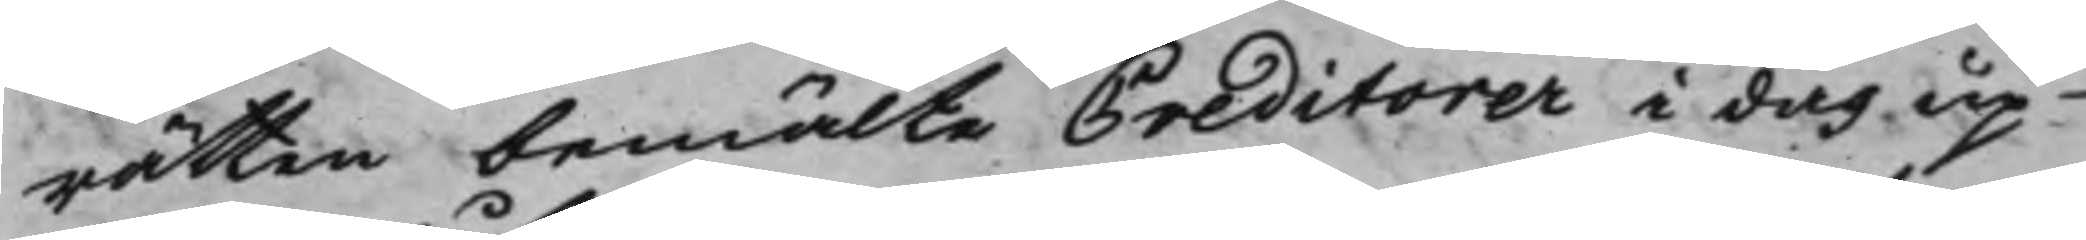rätten bemälte Creditorer i dag up¬
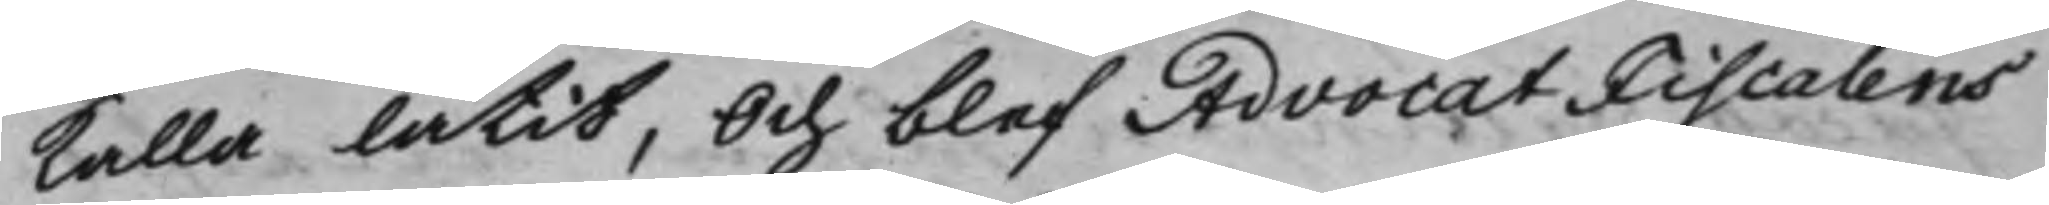kalla låtit, Och blef AdvocatFiscalens
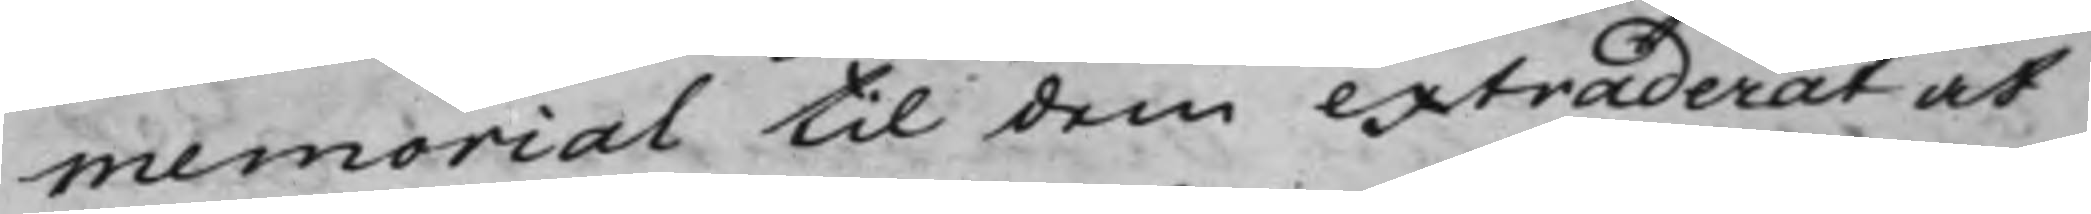Memorial til dem extraderat at
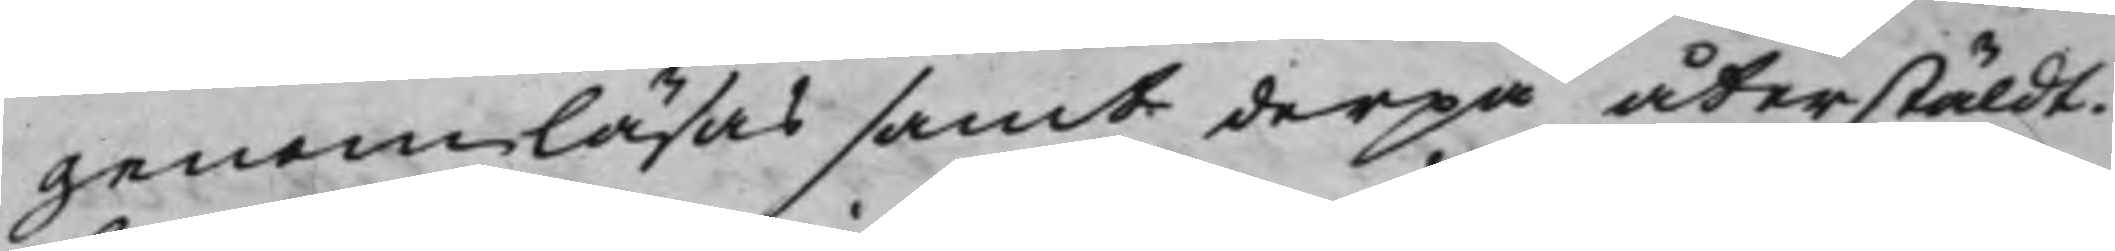genomläsas samt derpå återstäldt.
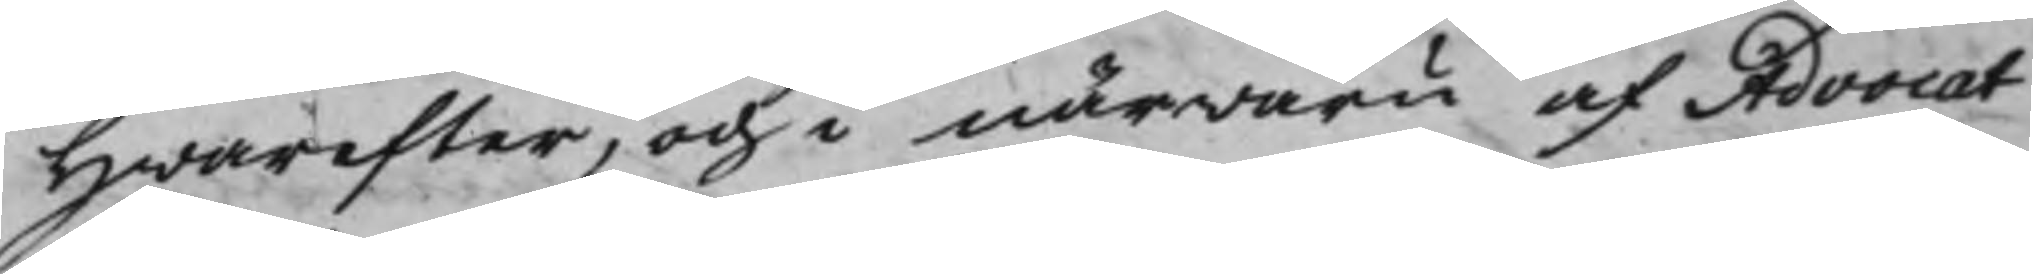Hwarefter, och i närwaru af Advocat¬
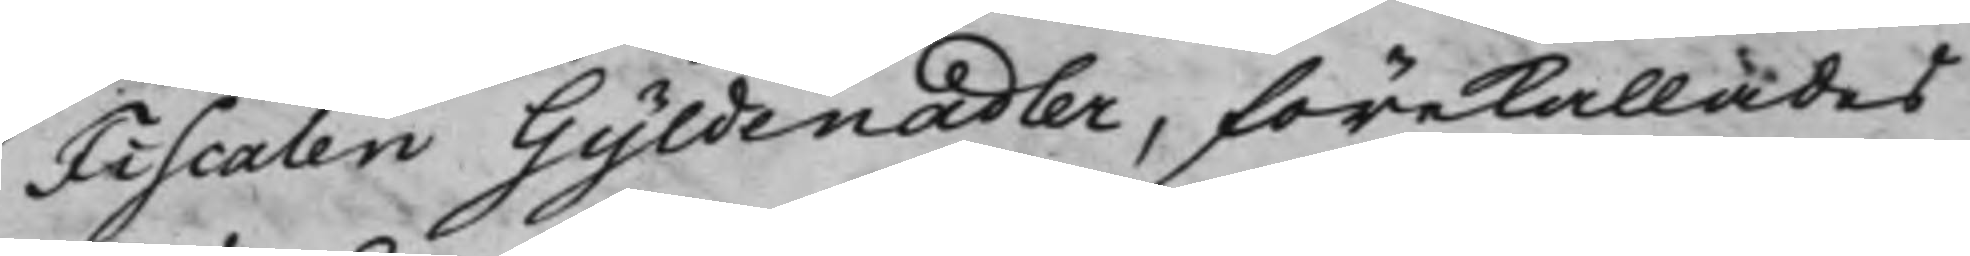Fiscalen Gyldenadler, förekallades
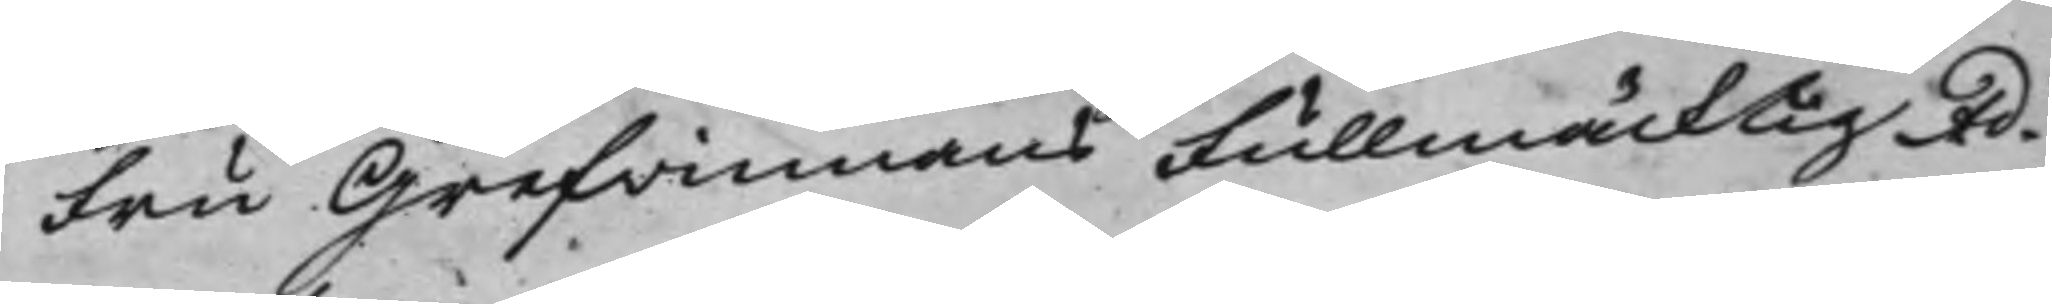Fru Grefvinnans Fullmäcktig Ad¬
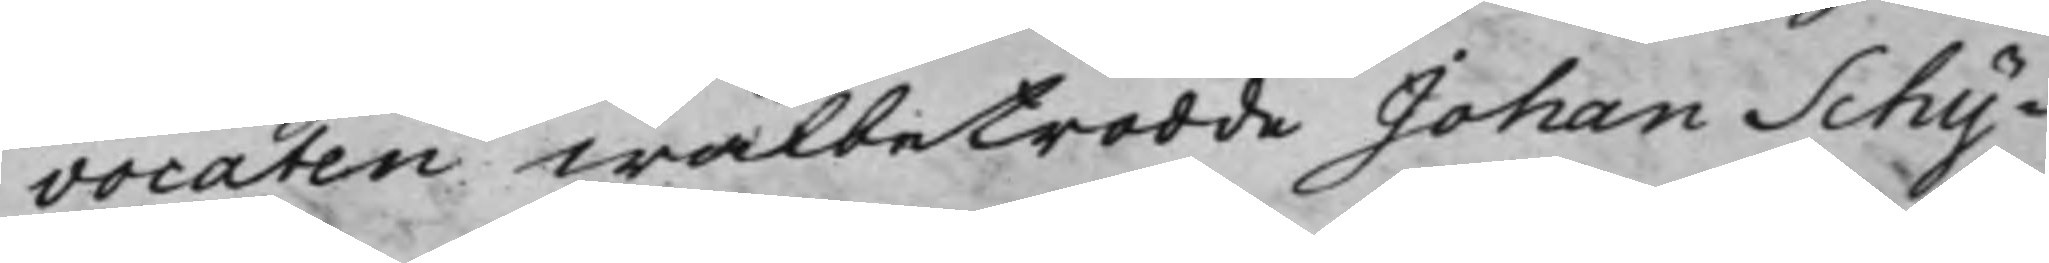vocaten Wälbetrodde Johan Schy¬
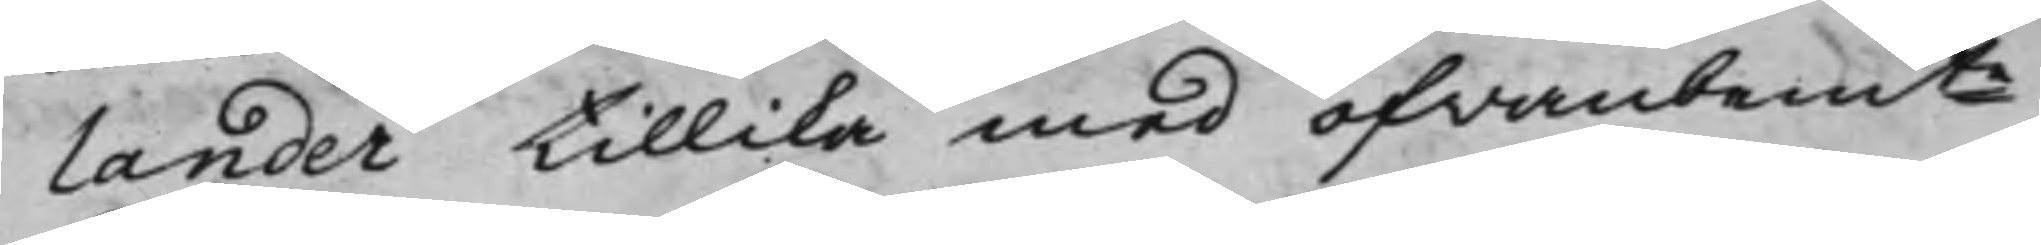lander tillika med ofwanbemte
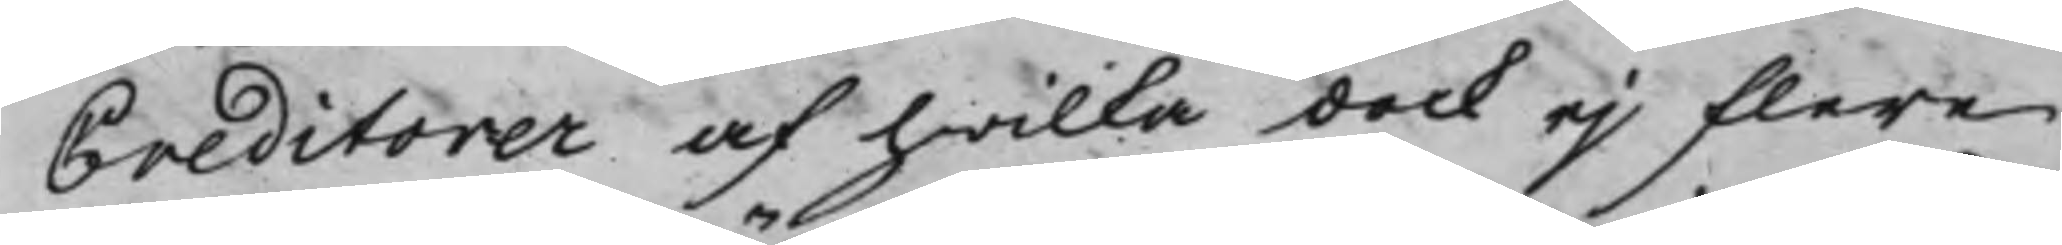Creditorer af hwilka dock ej flere
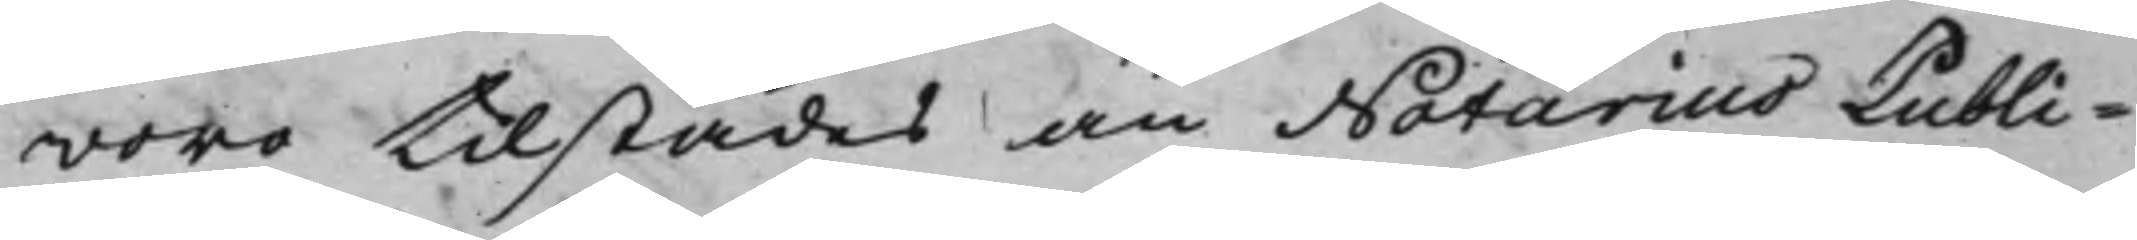woro tilstädes än Notarius Publi¬
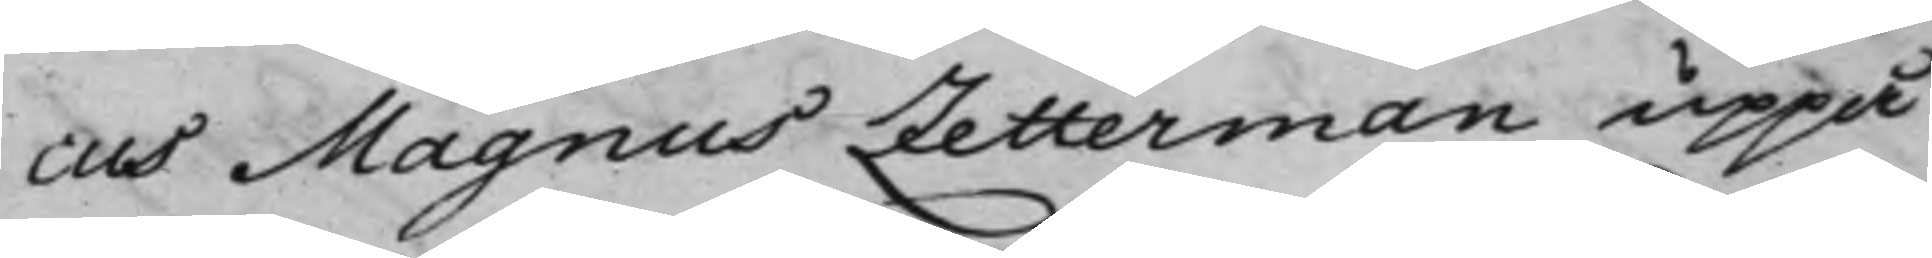cus Magnus Zetterman uppå
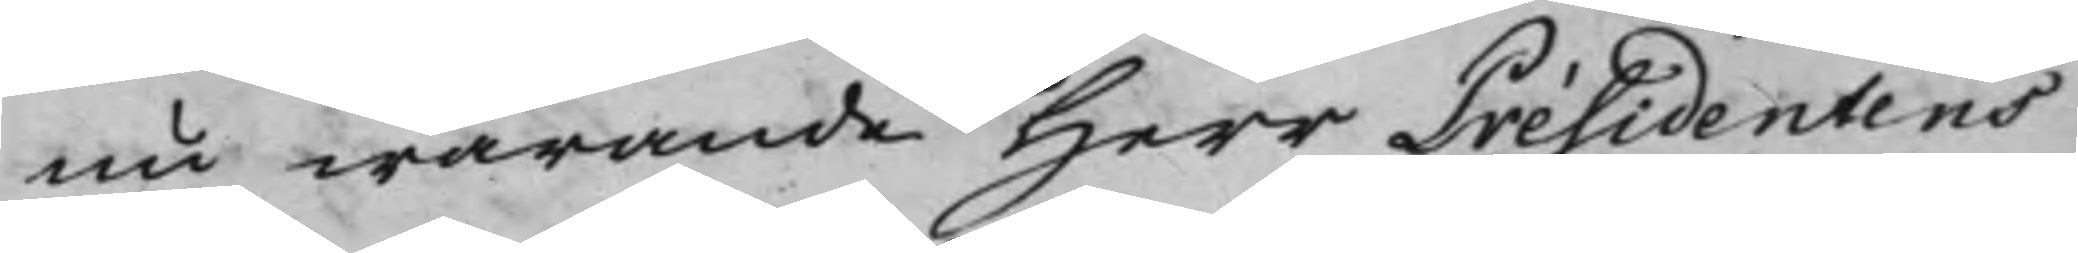nu warande Herr Présidentens
